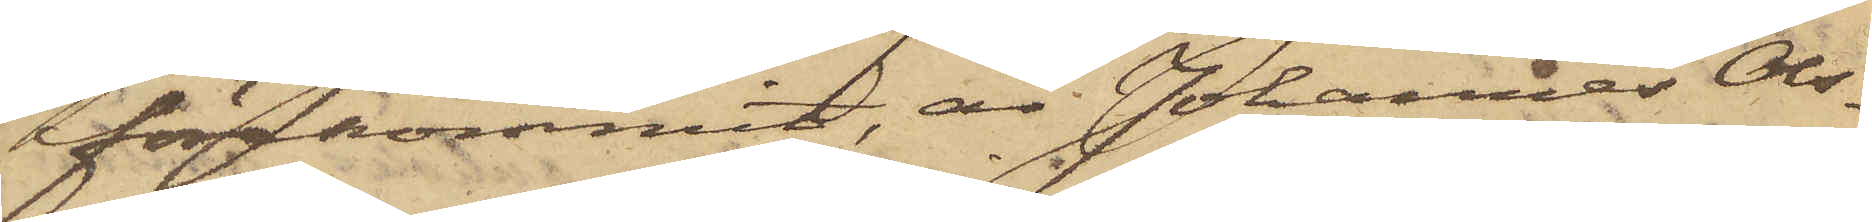förekommit, är Johannes Ols¬
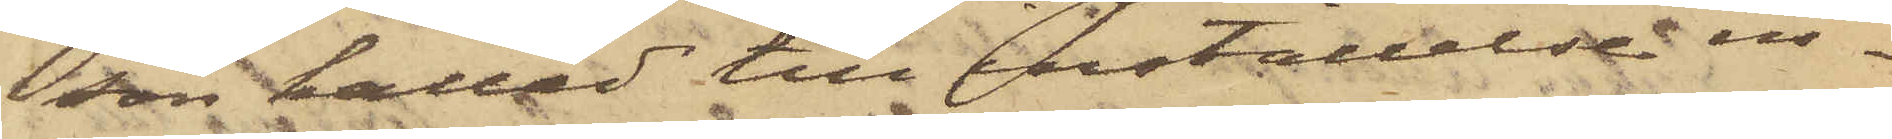son kallad till inställelse in¬
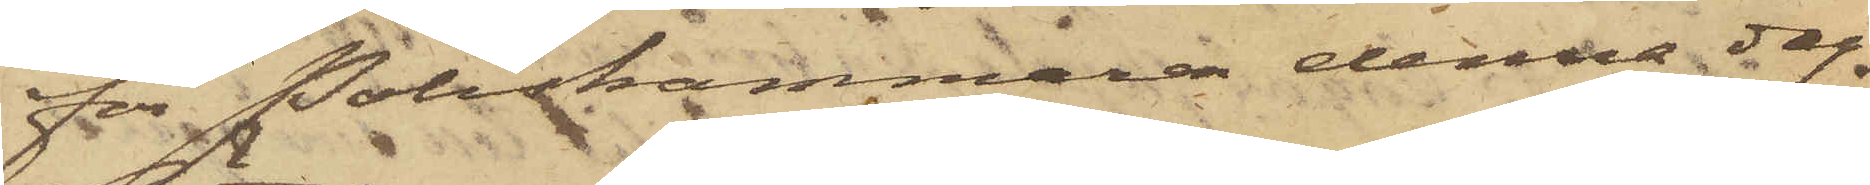för Poliskammaren denna dag.
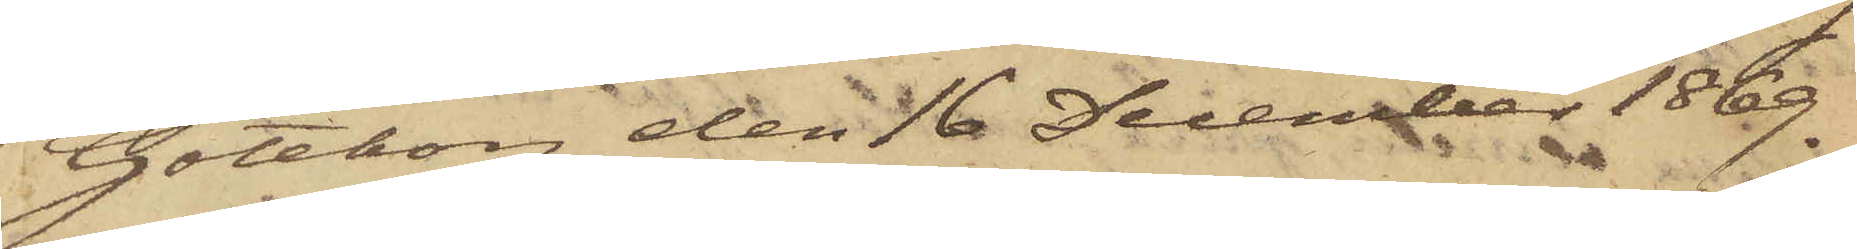Göteborg den 16 December 1869.
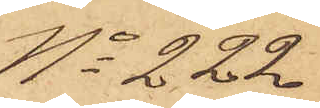No 222
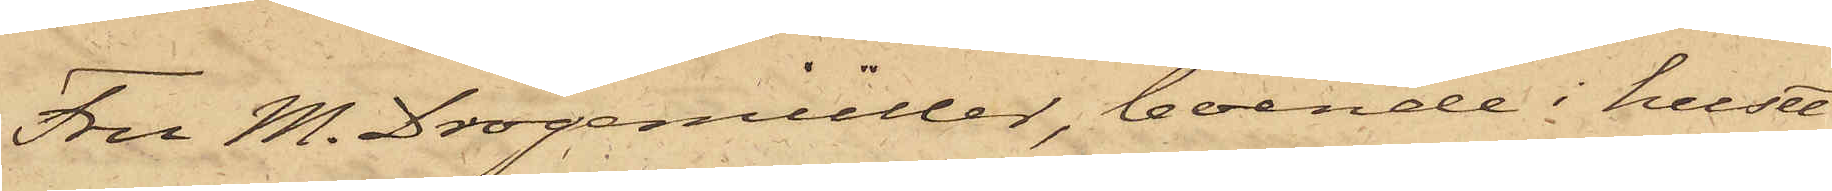Fru M. Drögemüller, boende i huset
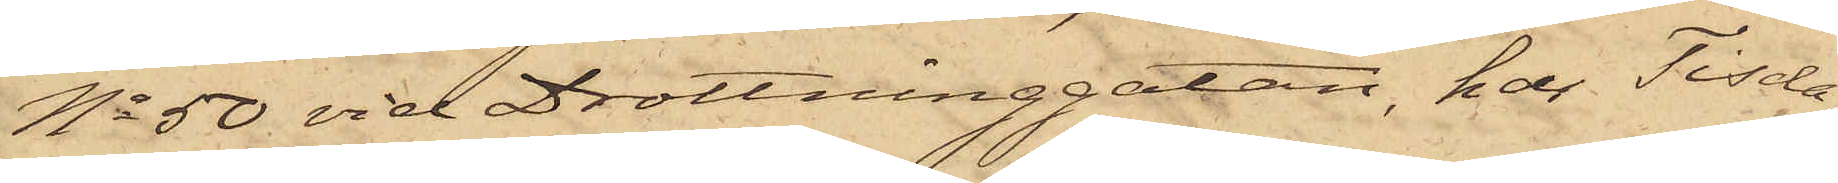No 50 vid Drottninggatan, har Tisda¬
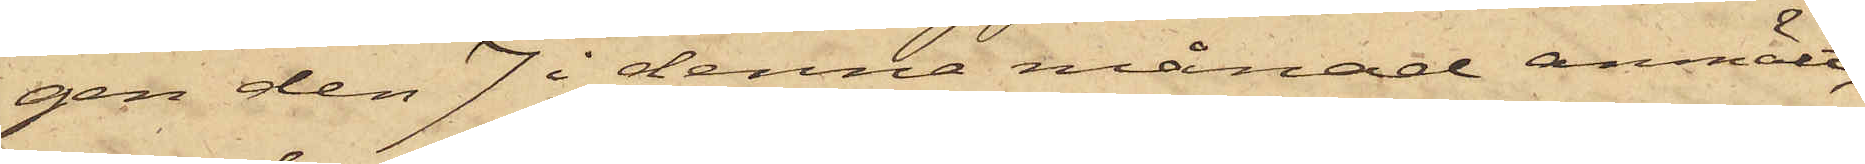gen den 7 i denna månad anmält,
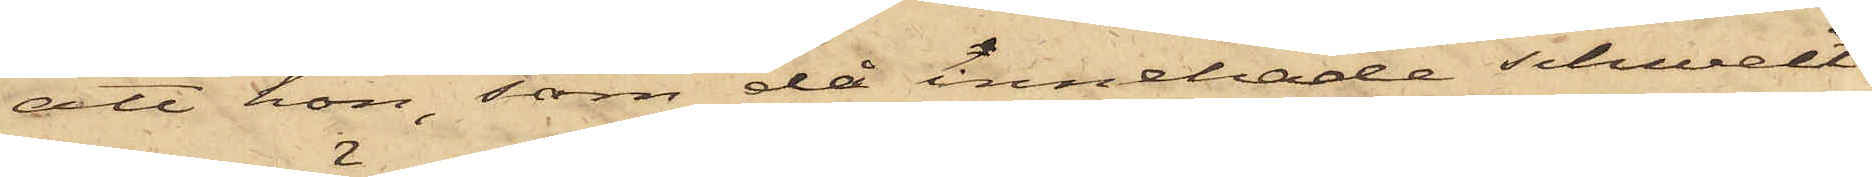att hon, som då innehade schweit¬
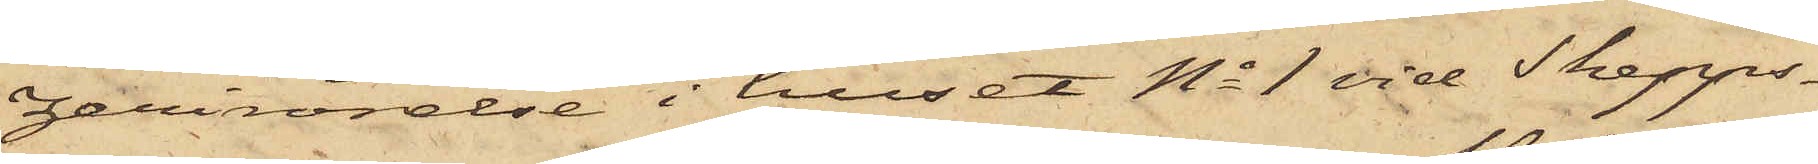zerirörelse i huset No 1 vid Skepps¬
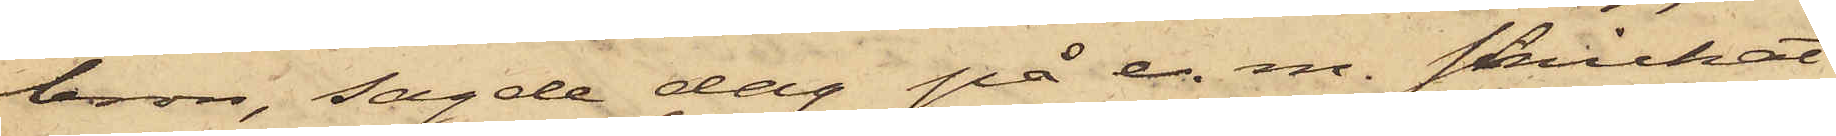bron, sagde dag på e. m. skickat
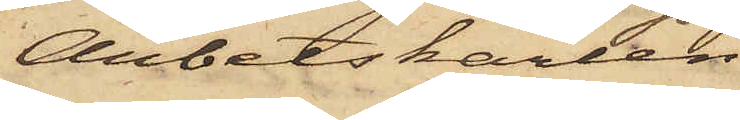Arbetskarlen
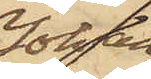Johan
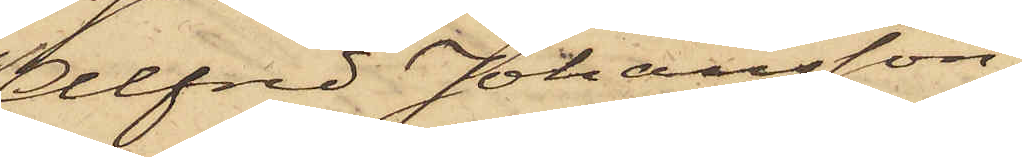Alfred Johansson,
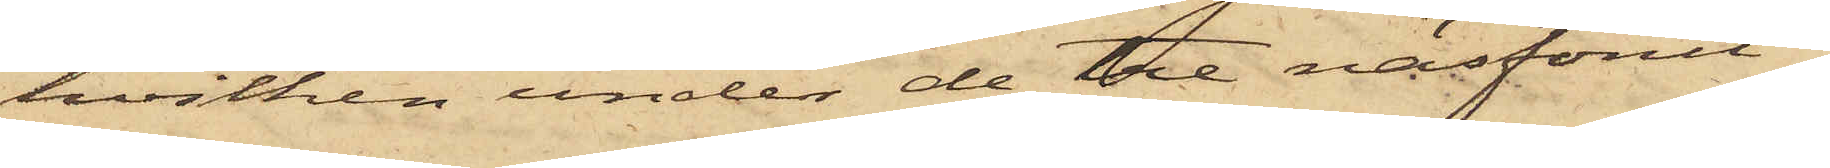hvilken under de tre näsförut¬
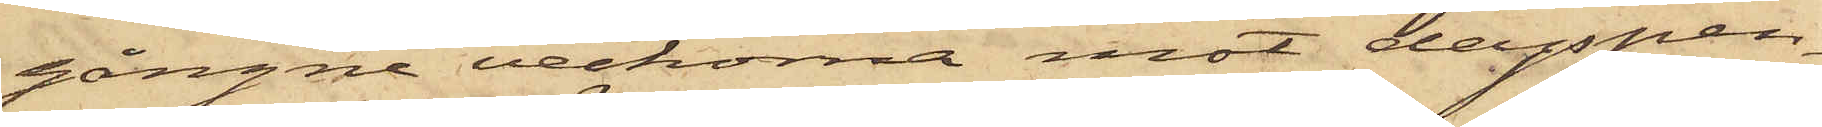gångne veckorna mot dagspen¬
